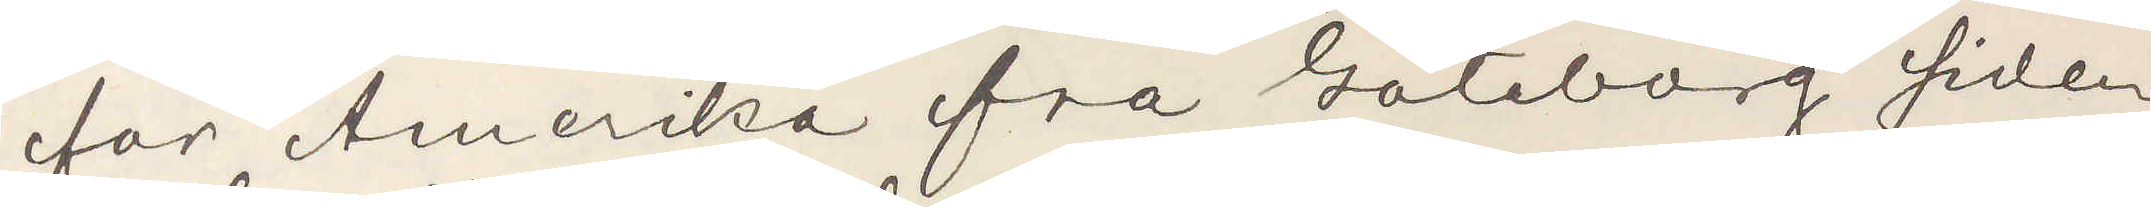for Amerika fra Göteborg siden
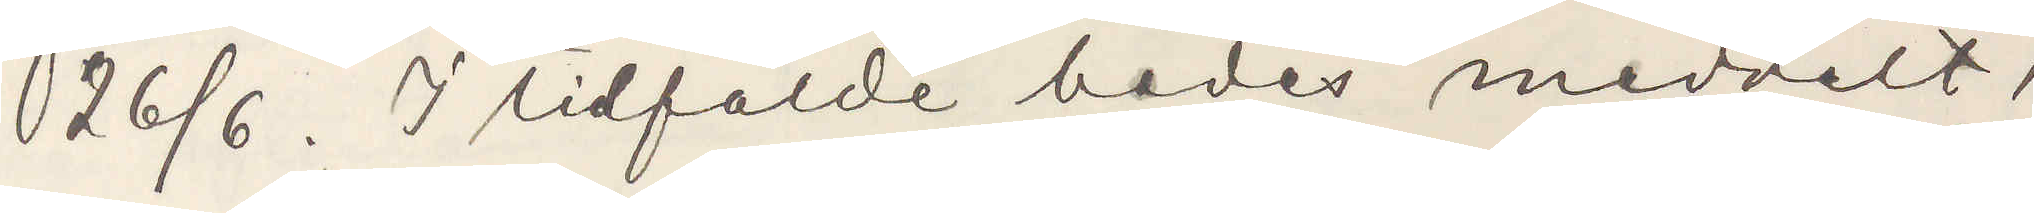26/6. I tidfälde bedes meddelat,
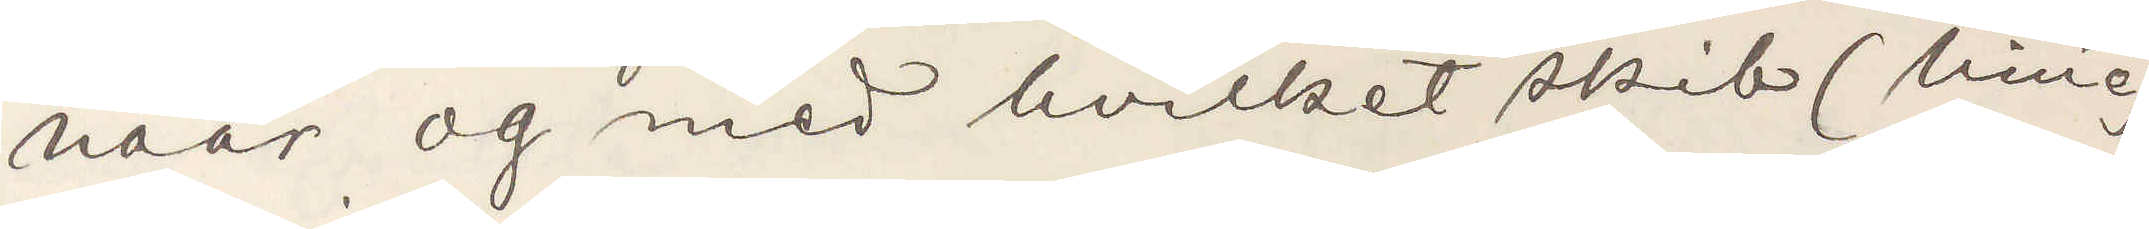naar og med hvilket skib (linie)
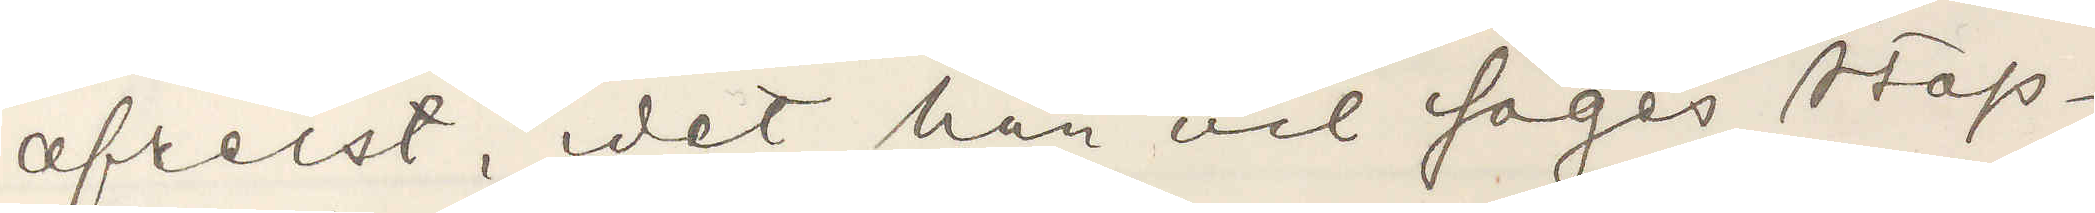afreist, i det han vil söges stop¬
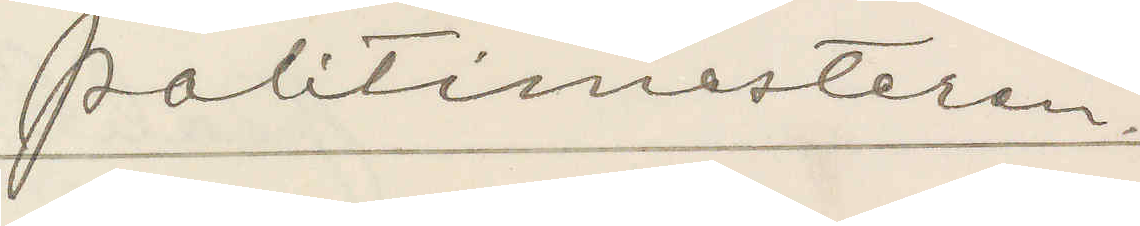Politimesteren.
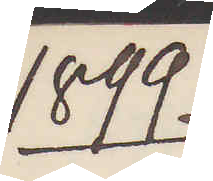1899.
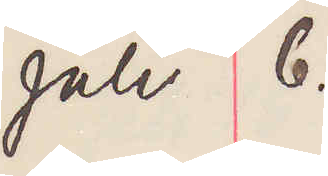Juli 6.
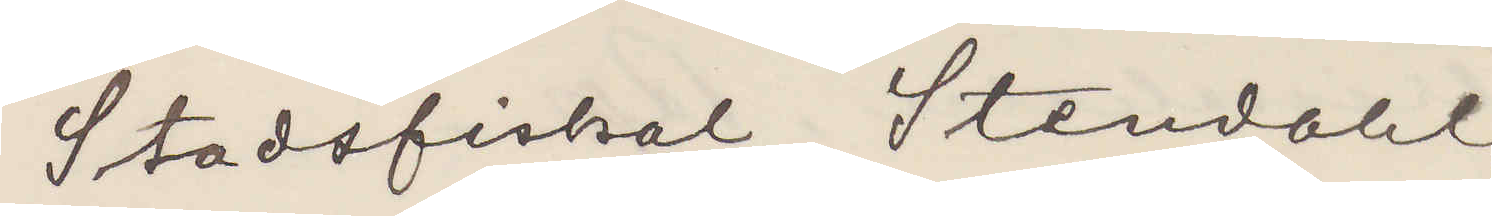Stadsfiskal Stendahl,
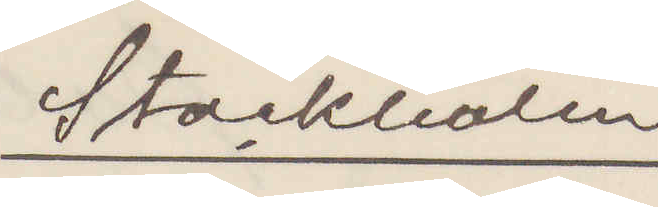Stockholm
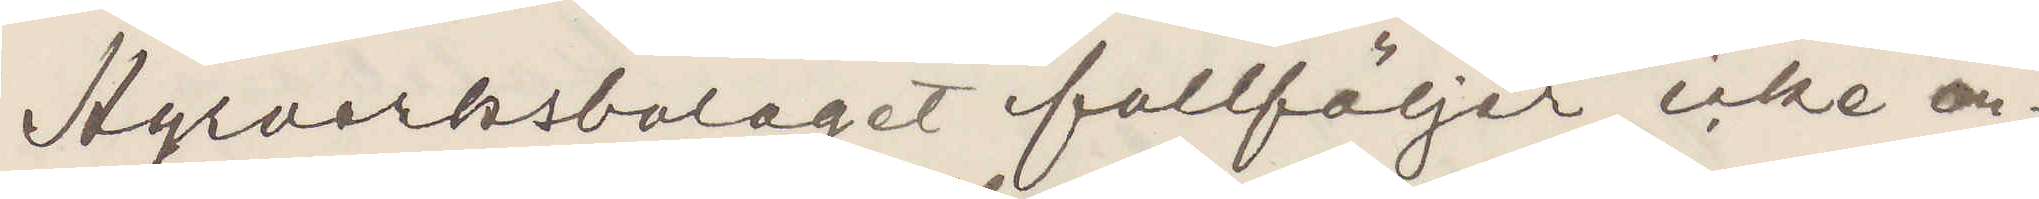Hyrverksbolaget fullföljer icke an¬
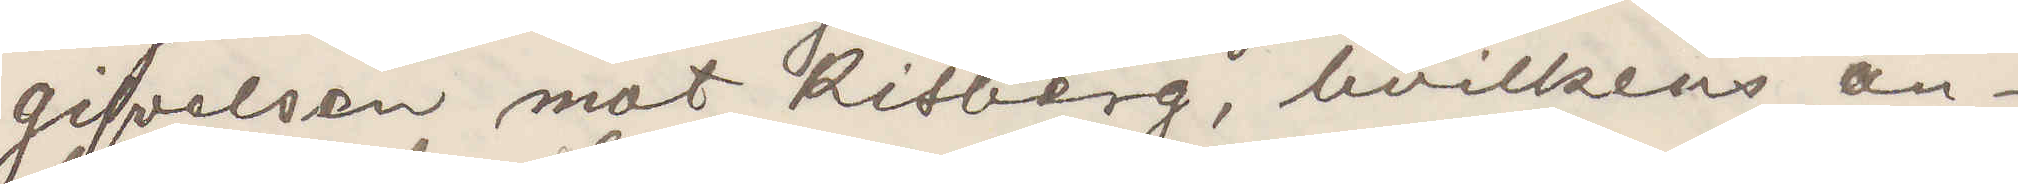gifvelsen mot Risberg, hvilkens an¬
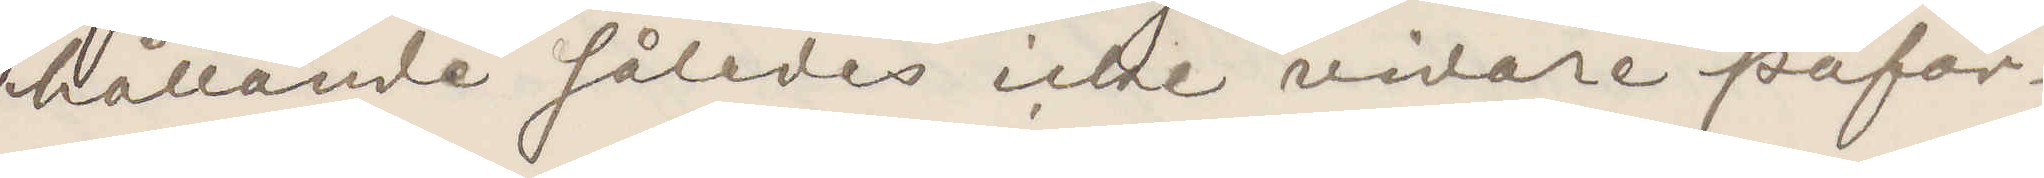hållande således icke vidare påfor¬
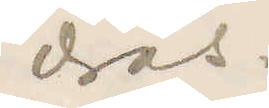dras.
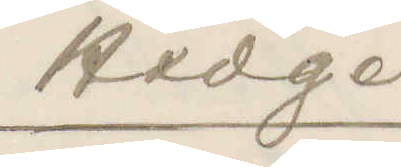Hedge
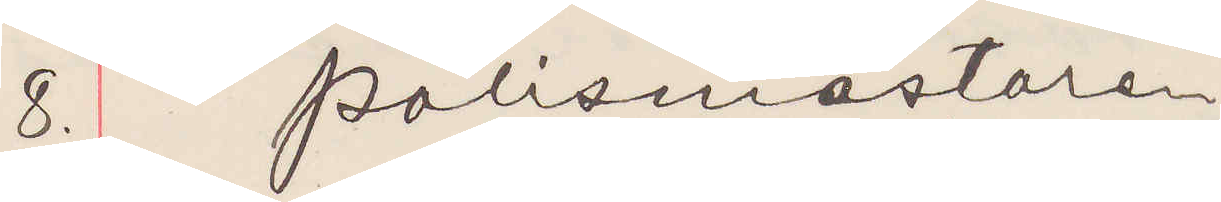8. polismästaren
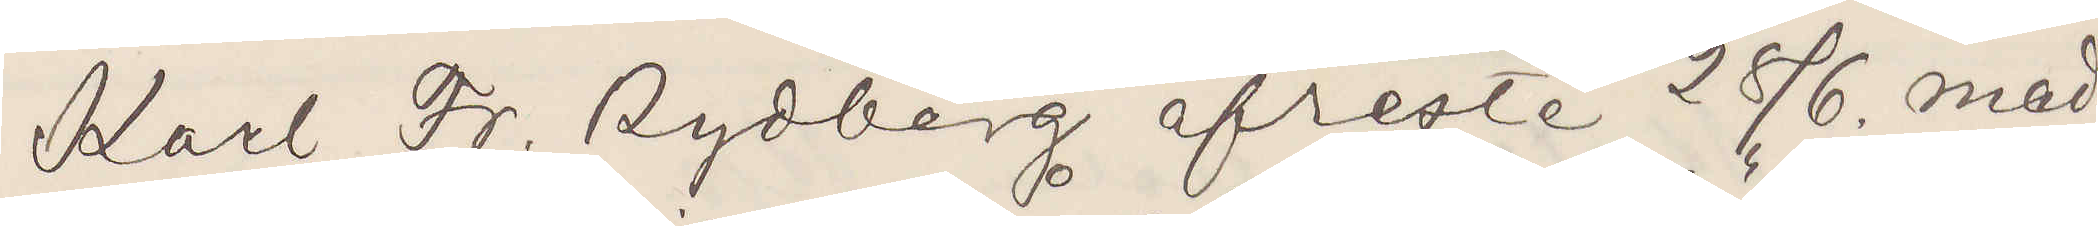Karl Fr Rydberg afreste 28/6. med
